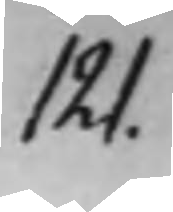121.
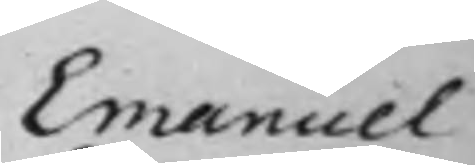Emanuel
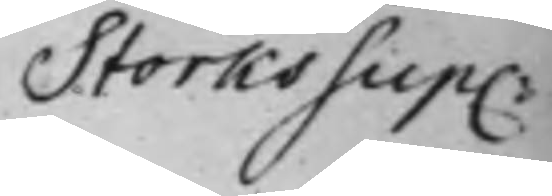Storks Sup:
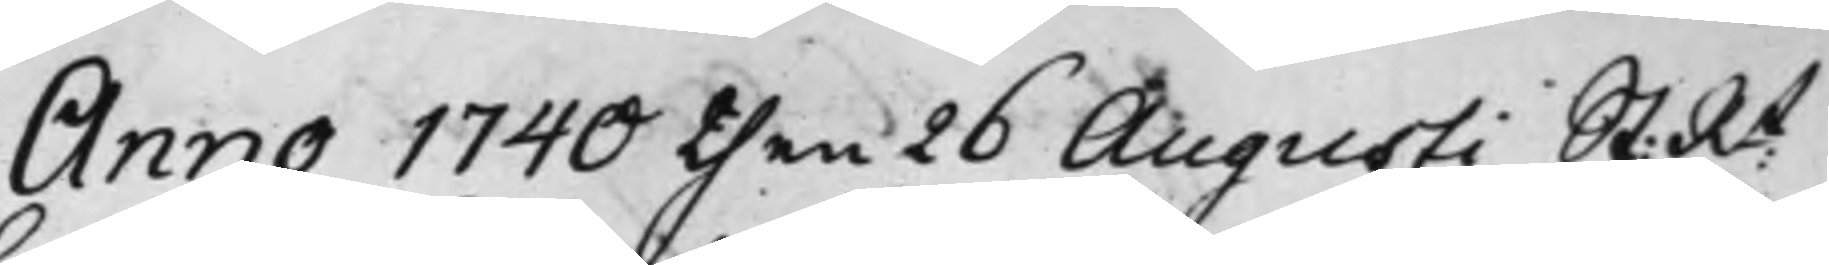Anno 1740 then 26 Augusti St: Rt
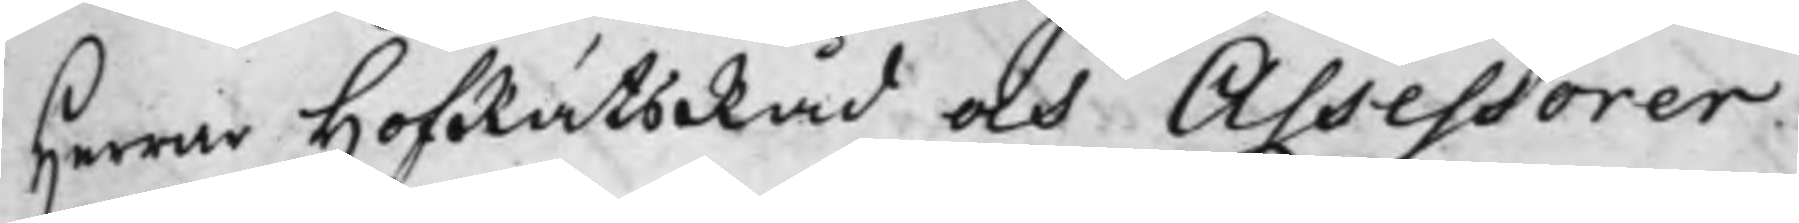Herrar HofRättsRåd och Assessorer.
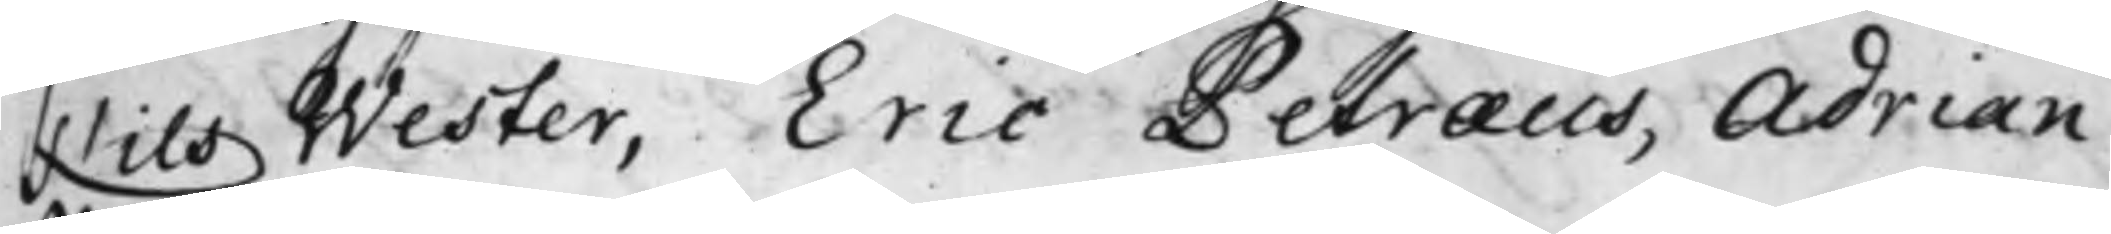Nils Wester, Eric Petræus, Adrian
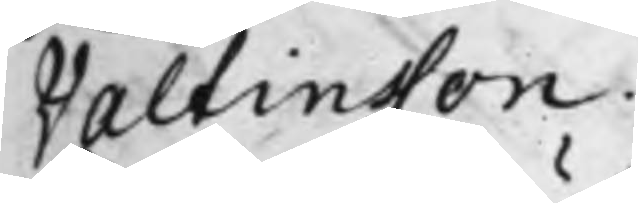Valtinsson.
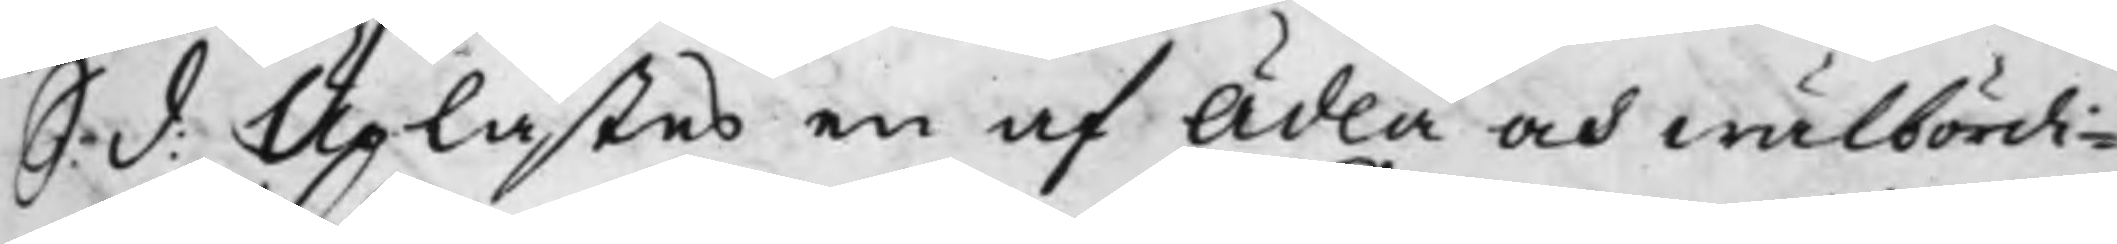S: d: Uplästes en af Ädla och wälbördi¬
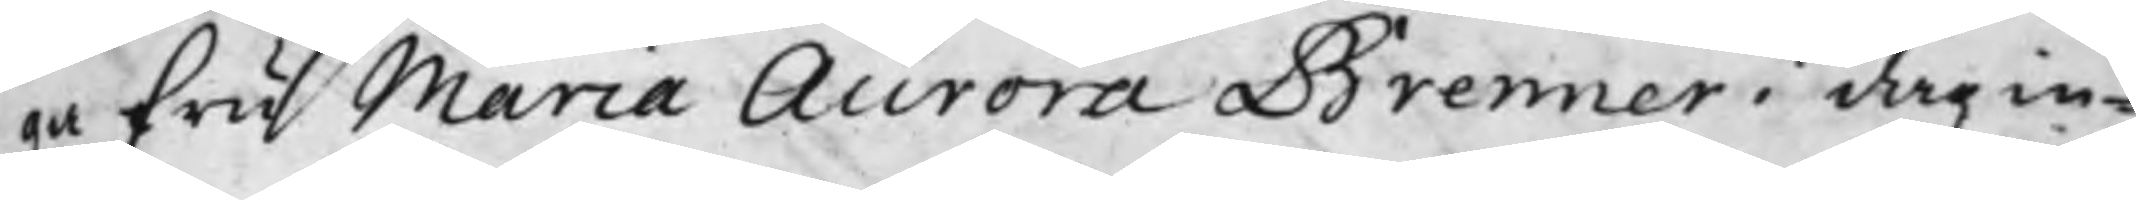ga fru Maria Aurora Brenner i dag in¬
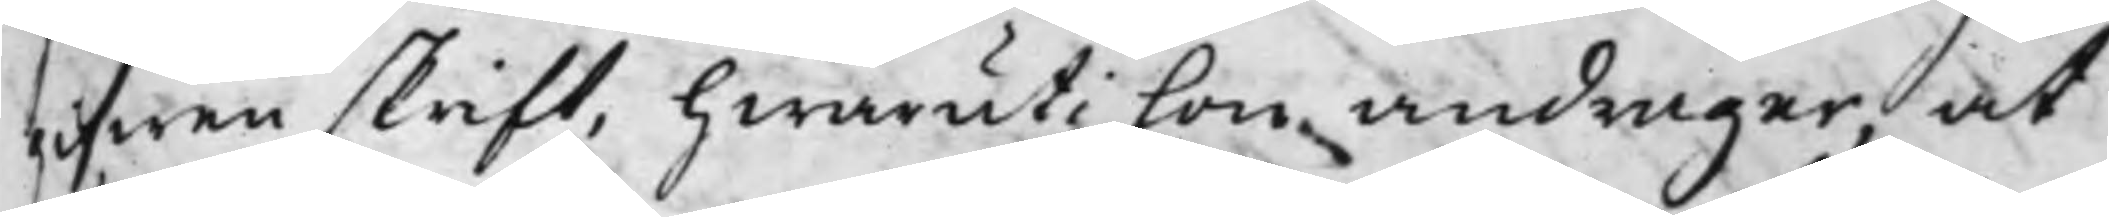gifwen skrift, hwaruti hon andrager, at
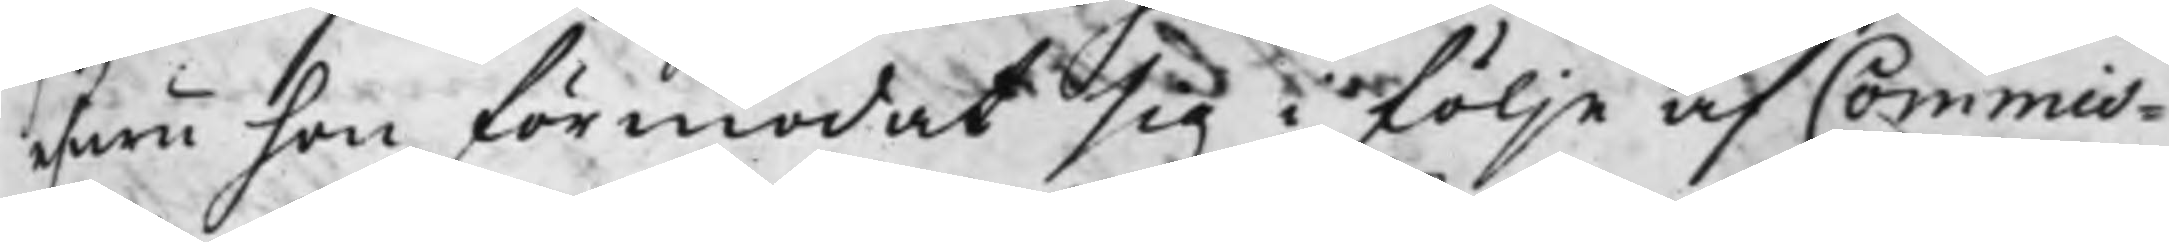ehuru hon förmodat sig i följe af Commis¬
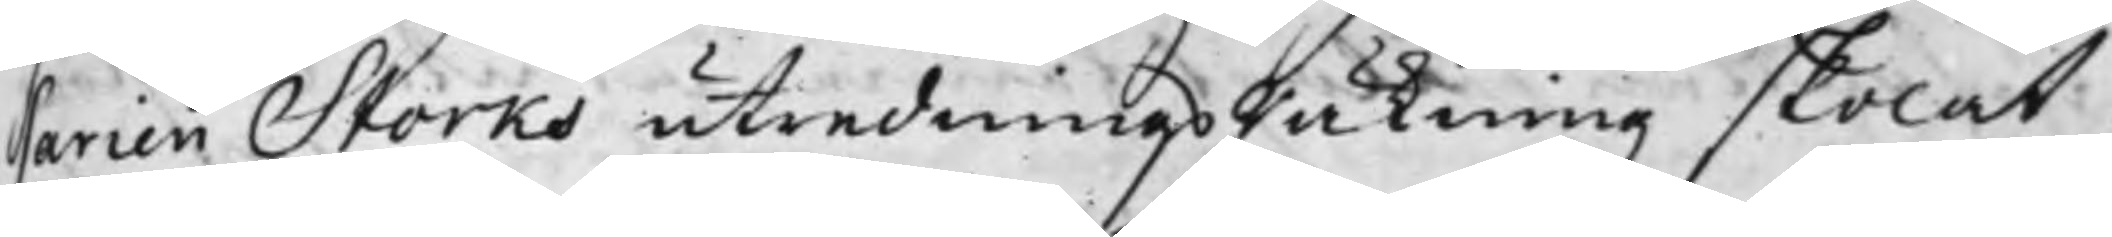sarien Storks utredningsRäkning skolat
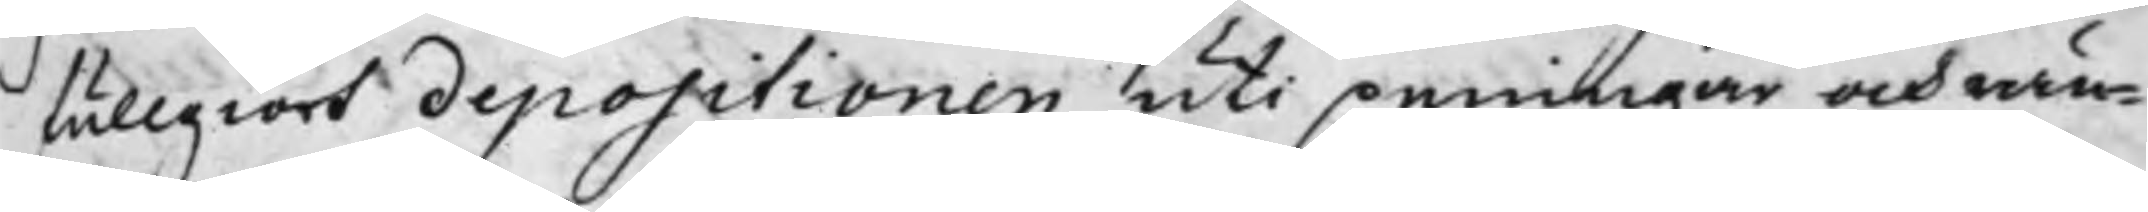fullgiort depositionen uti peningar och rän¬
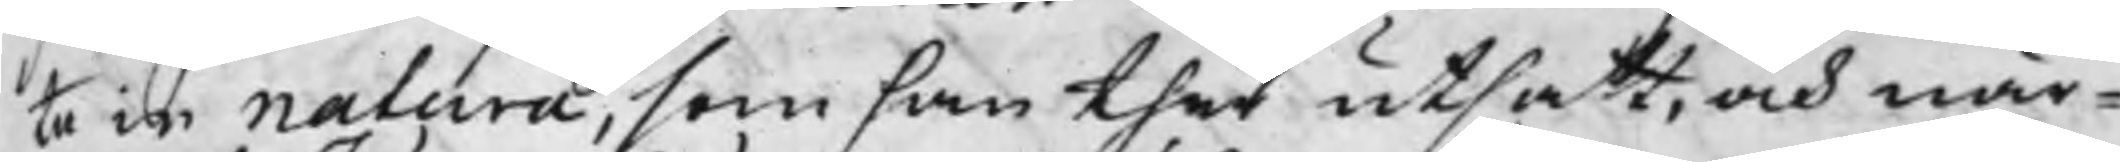ta in natura, som han ther utsatt, och när¬
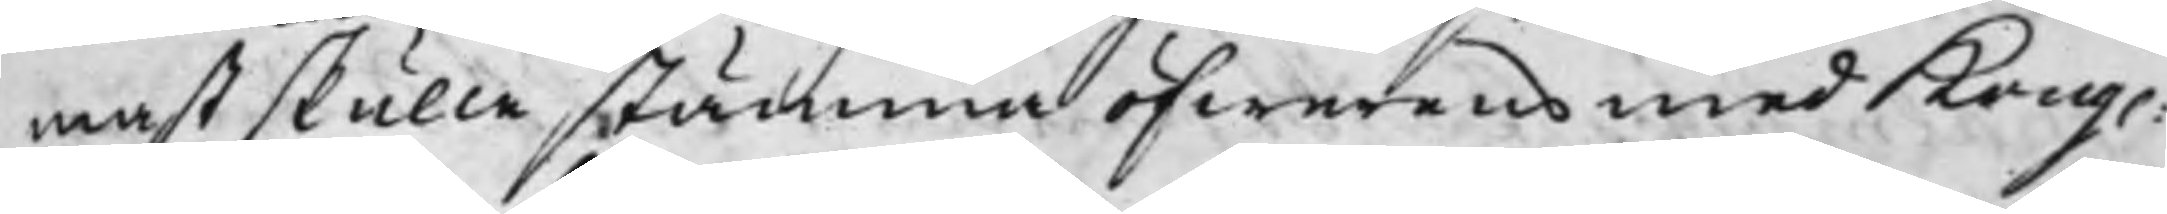mast skulle stämma öfwerens med Kong.
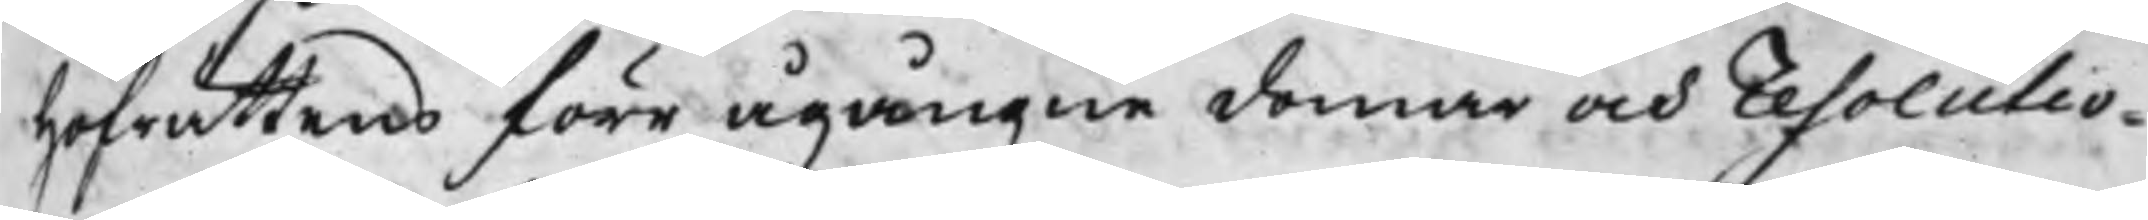Hofrättens förr ågångne domar och resolutio¬
